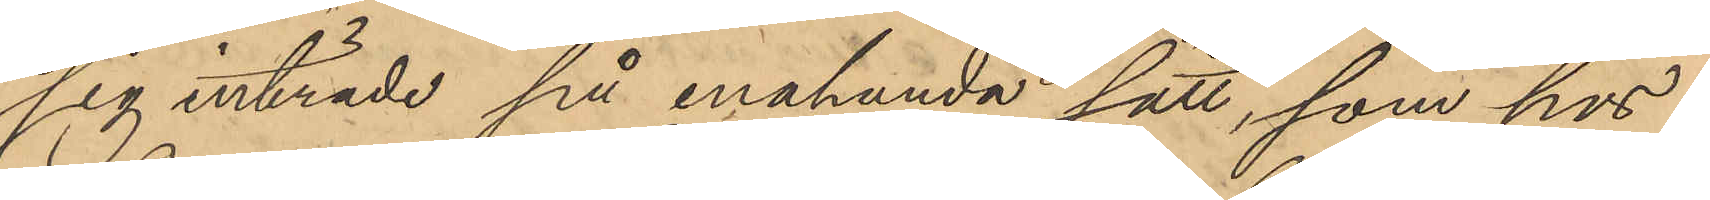sig inträde på enahanda sätt, som hos
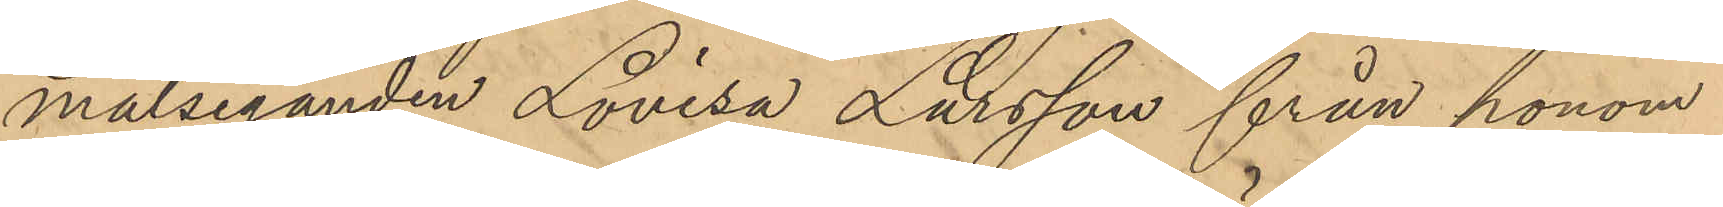målseganden Lovisa Larsson från honom
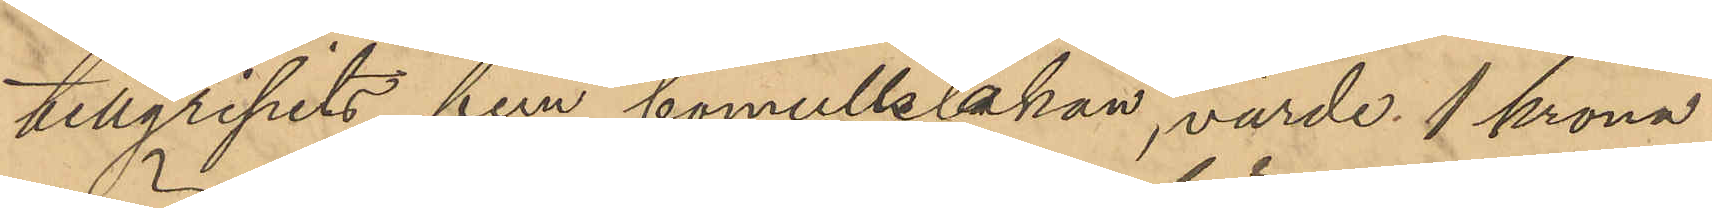tillgripits fem bomullslakan, värde 1 krona
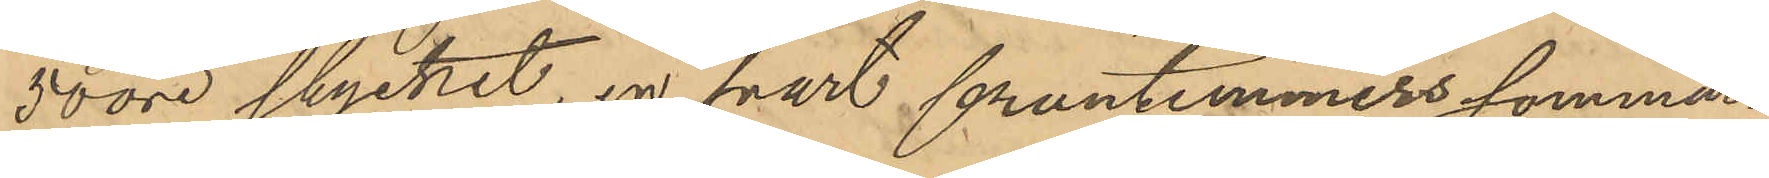50 öre stycket, en svart fruntimmerssommar¬
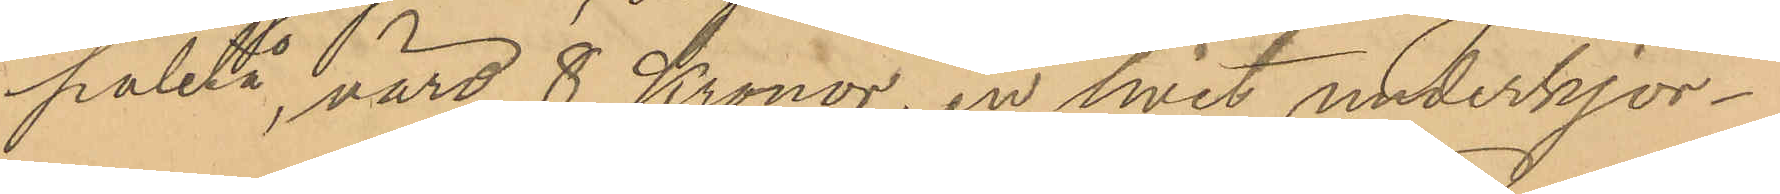paletå värd 8 Kronor, en hvit underkjor¬
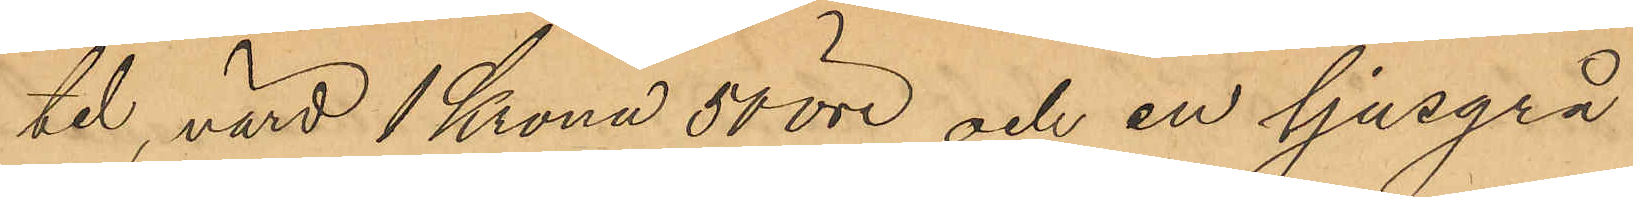tel, värd 1 Krona 50 öre och en ljusgrå
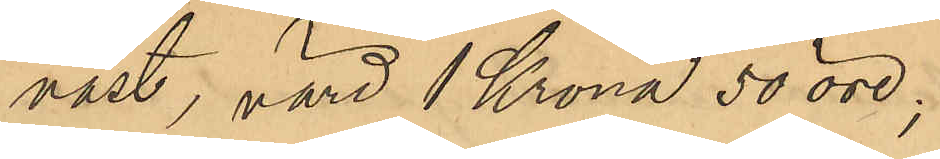väst, värd 1 Krona 50 öre;
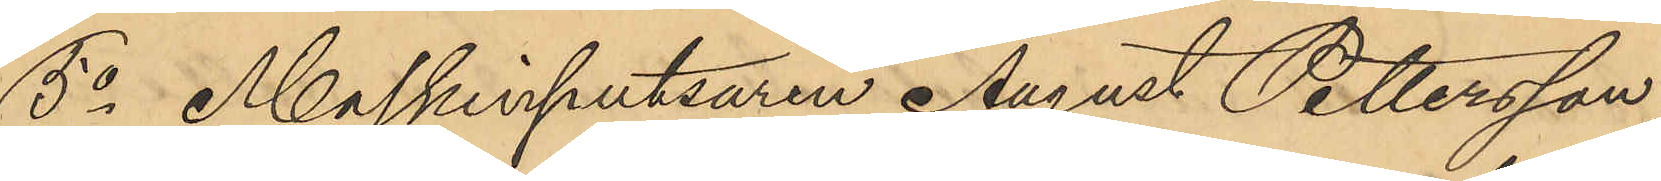5o Maskinputsaren August Pettersson
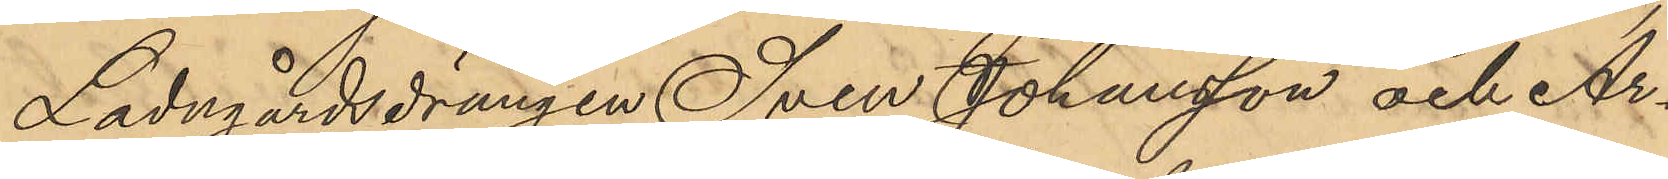Ladugårdsdrängen Sven Johansson och Ar¬
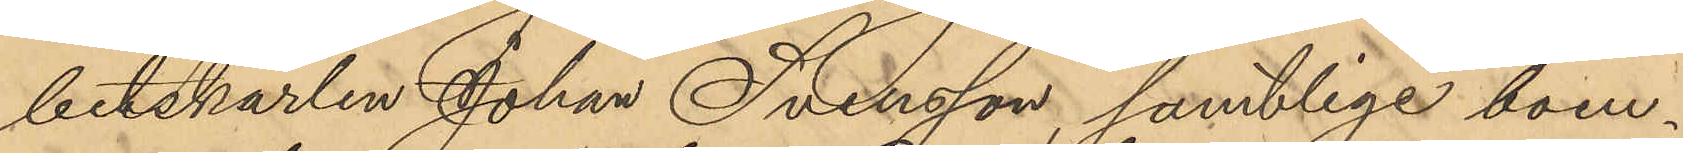betskarlen Johan Svensson, samtlige boen¬
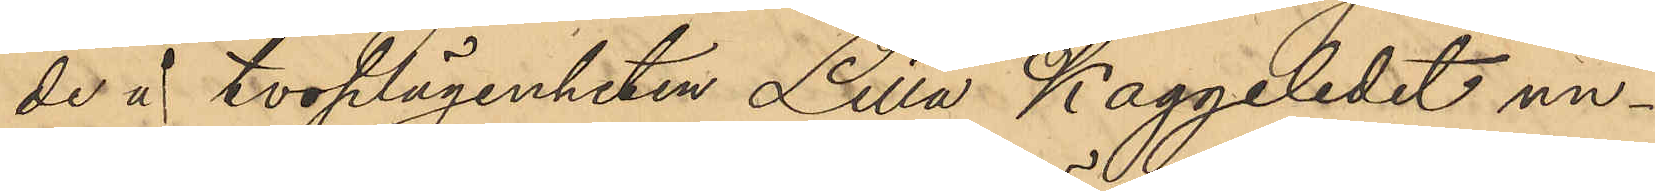de å torplägenheten Lilla Kaggeledet un¬
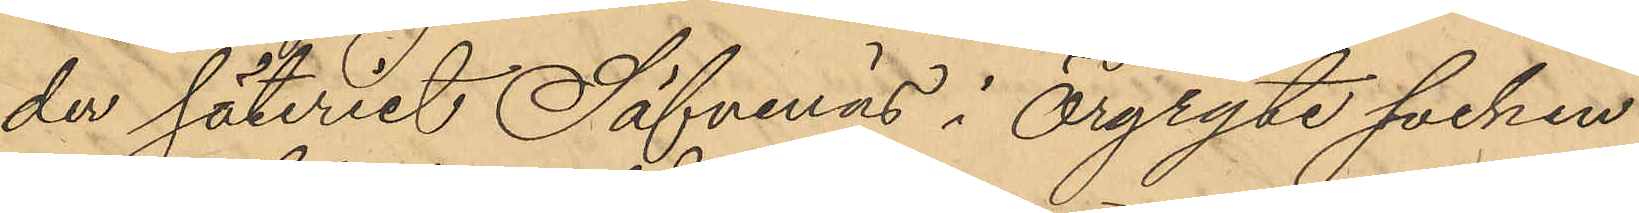der säteriet Säfvenäs i Örgryte socken
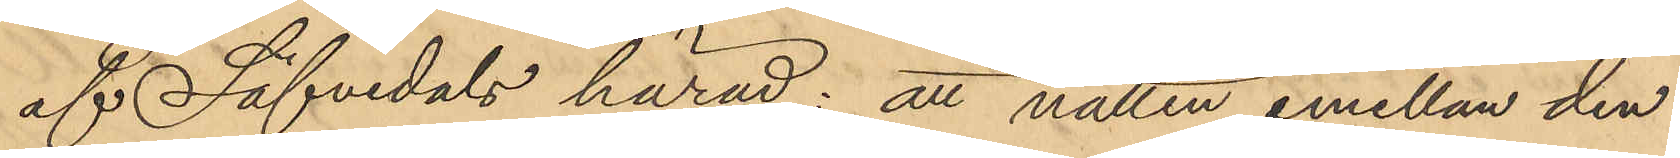af Säfvedals härad: att natten emellan den
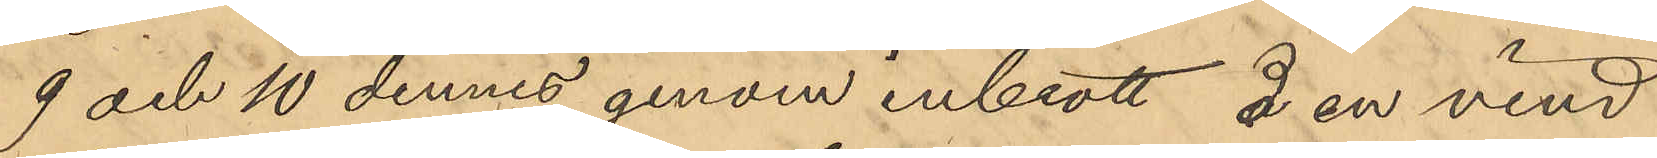9 och 10 dennes genom inbrott å en vind
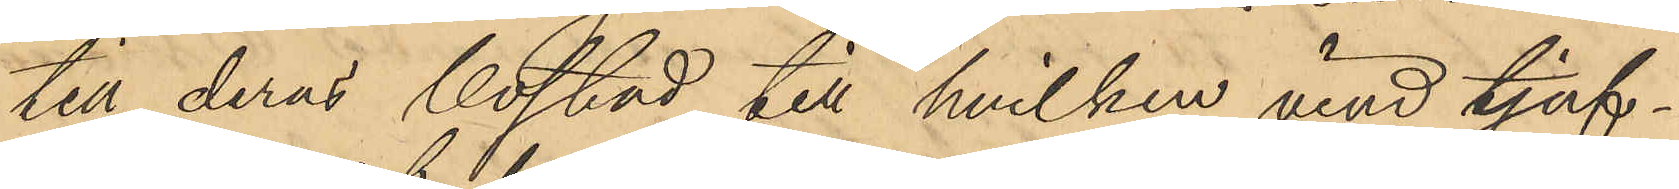till deras bostad till hvilken vind tjuf¬
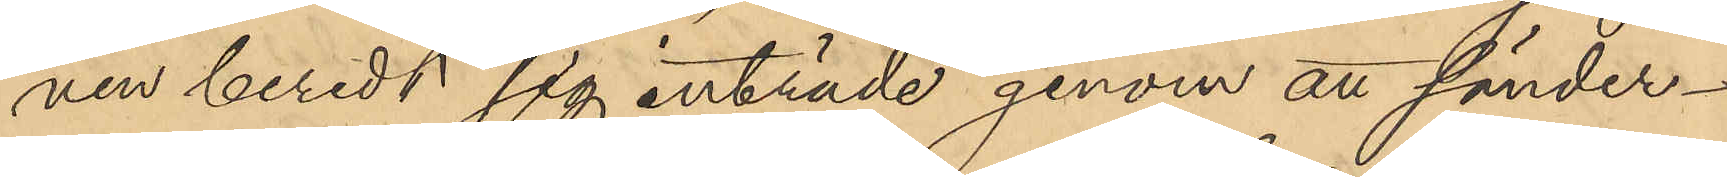nen beredt sig inträde genom att sönder¬
